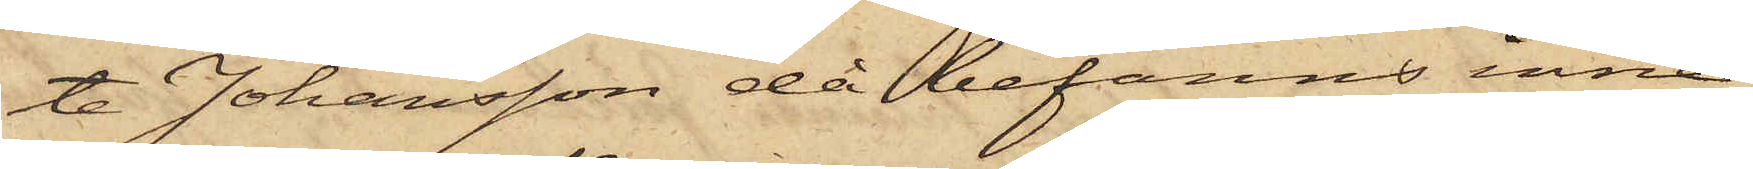te Johansson då befanns inne¬
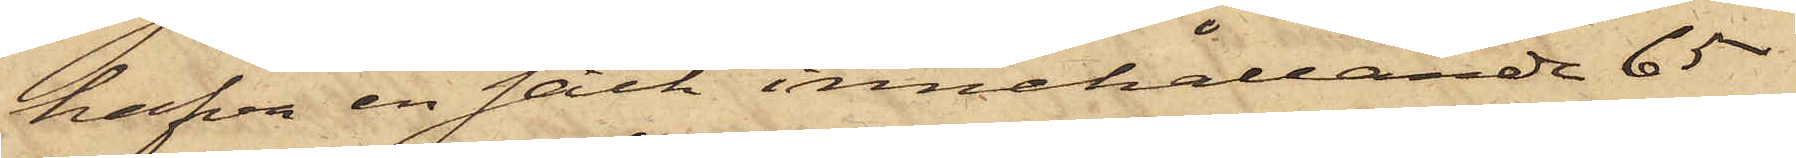hafva en säck innehållande 65
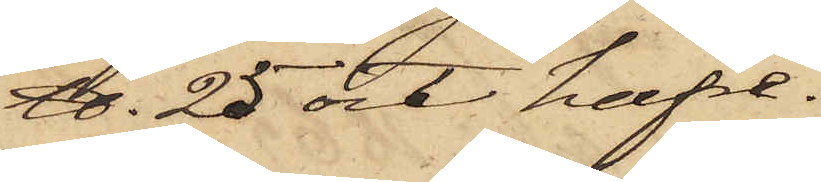℔. 25 ort hafre.
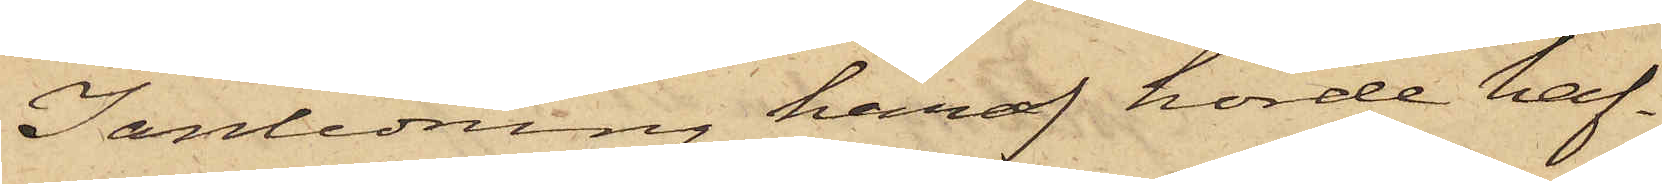I anledning häraf hörde haf¬
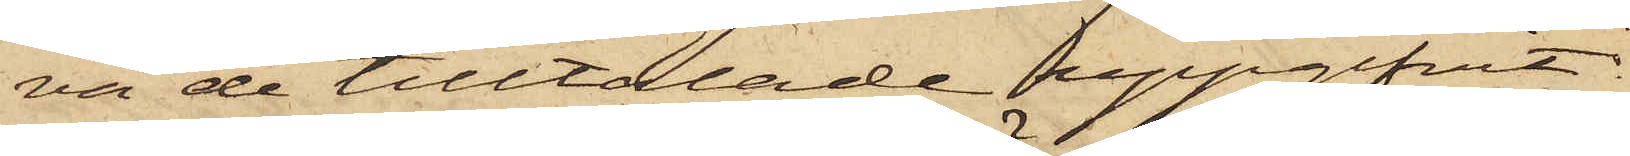va de tilltalade uppgifvit
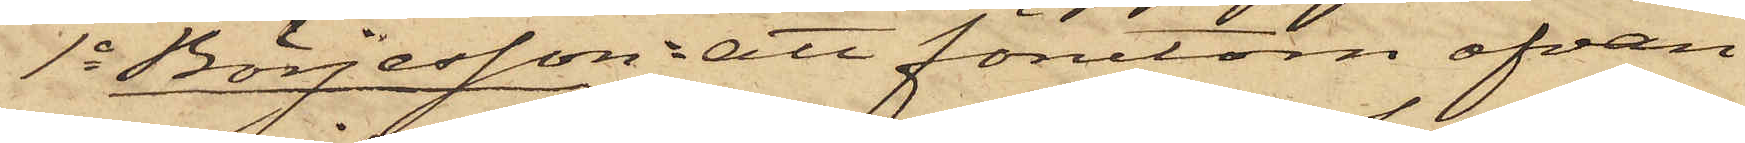1o Börjesson: att förutom ofvan
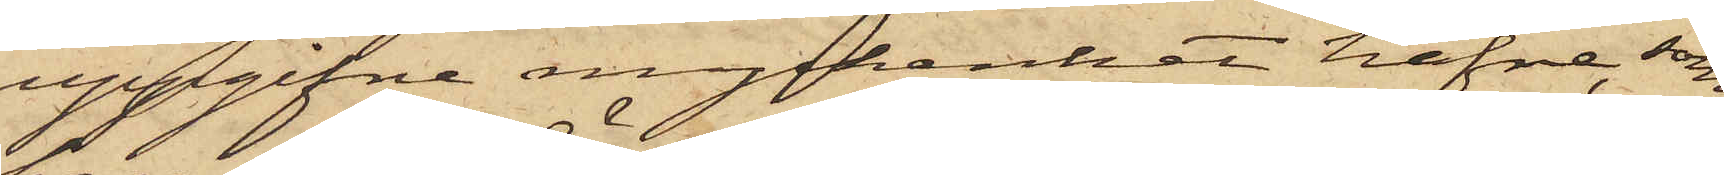uppgifne myckenhet hafre, som
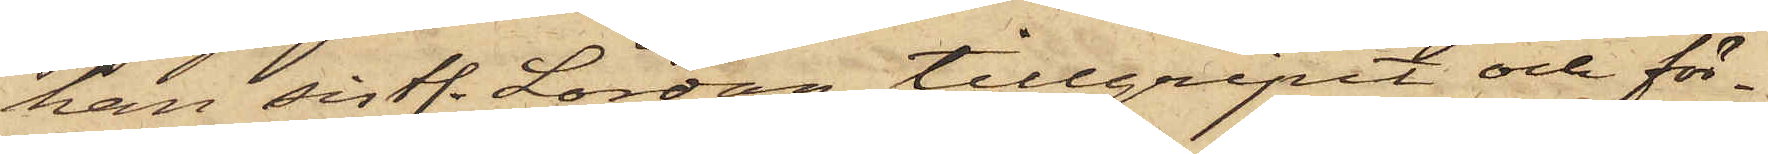han sistl. Lördag tillgripit och för¬
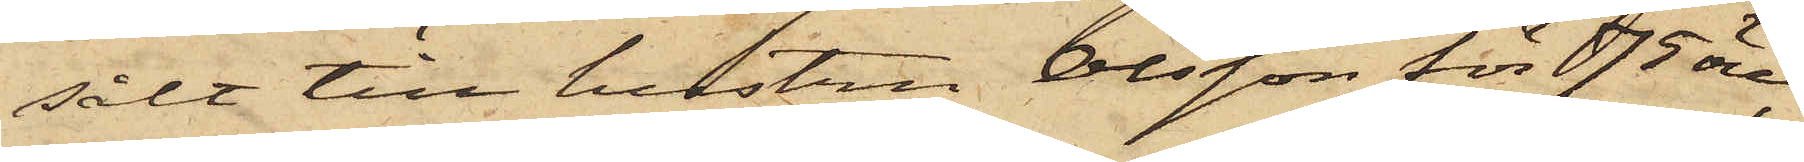sålt till hustru Olsson för 75 öre,
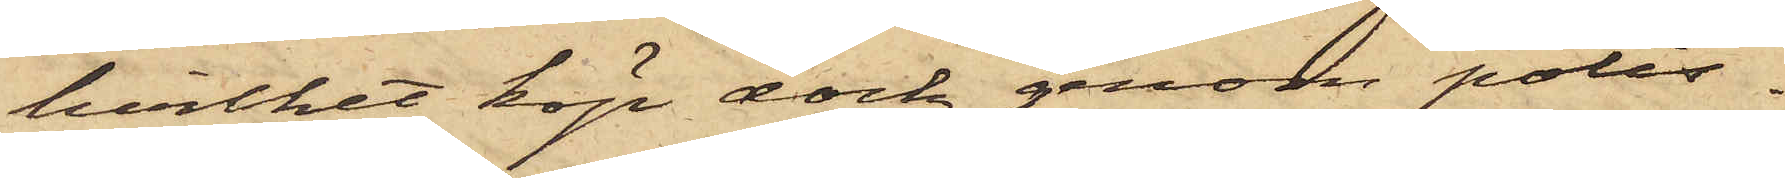hvilket köp dock genom polis¬
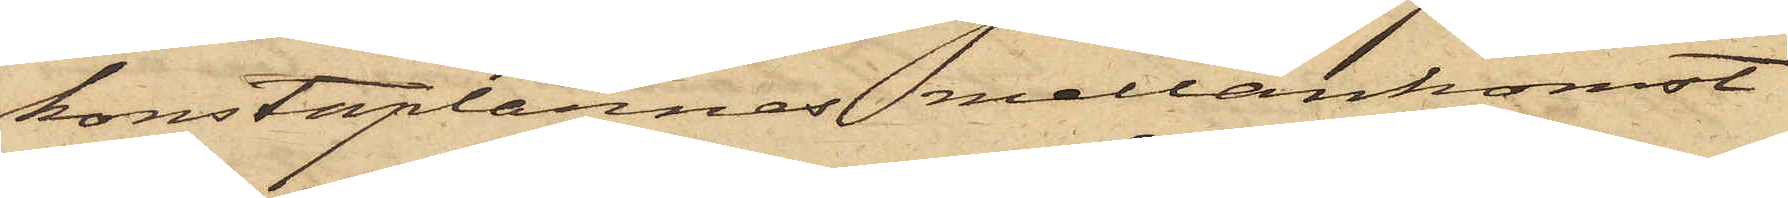konstaplarnes mellankomst
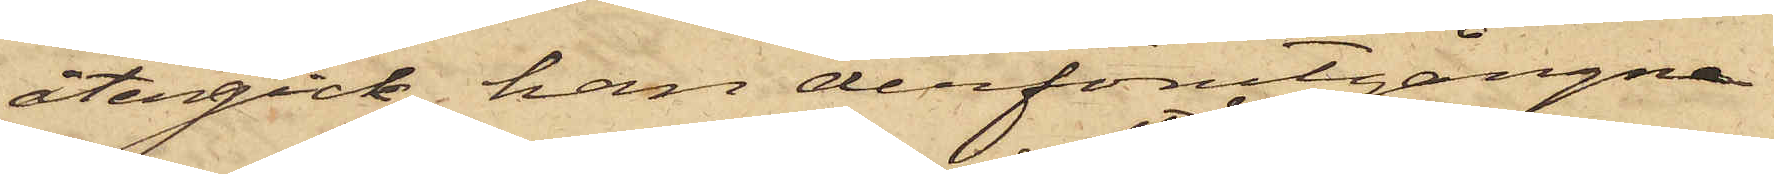återgick, han derförutgångne
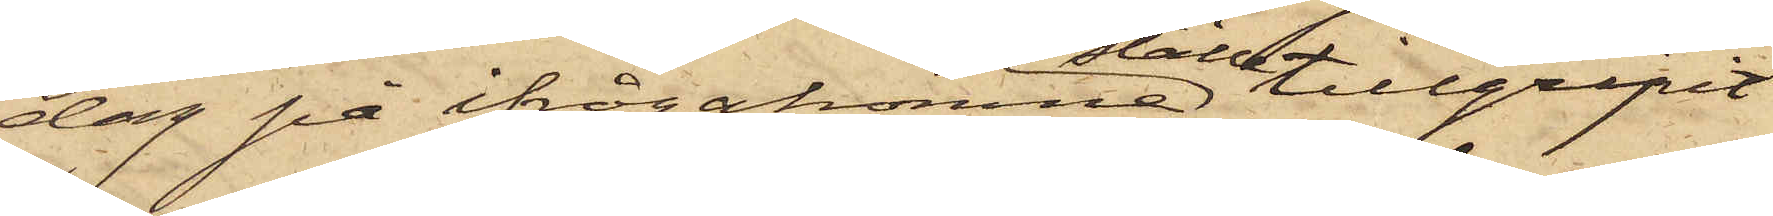dag på ifrågakomne ställe tillgripit
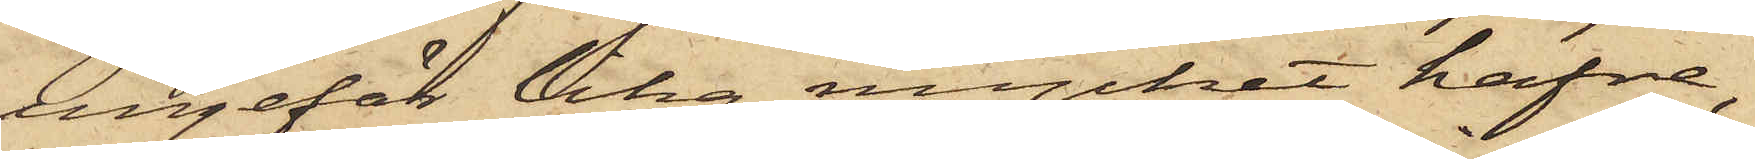ungefär lika mycket hafre,
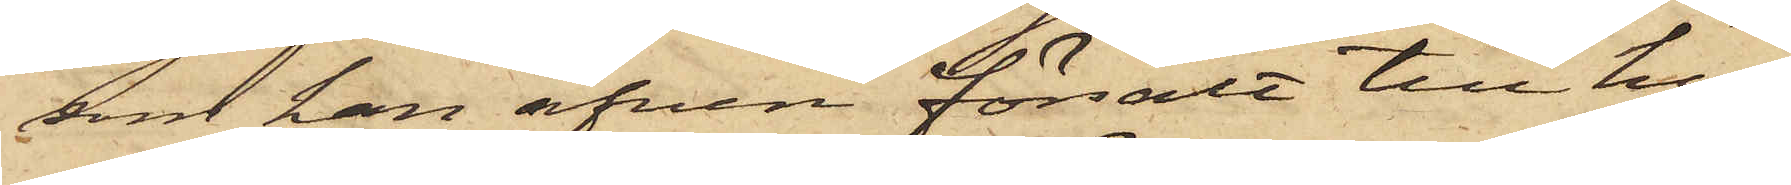som han äfven försålt till hu¬
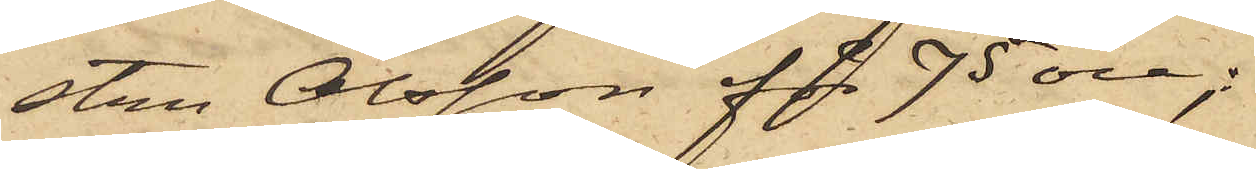stru Olsson för 75 öre;
